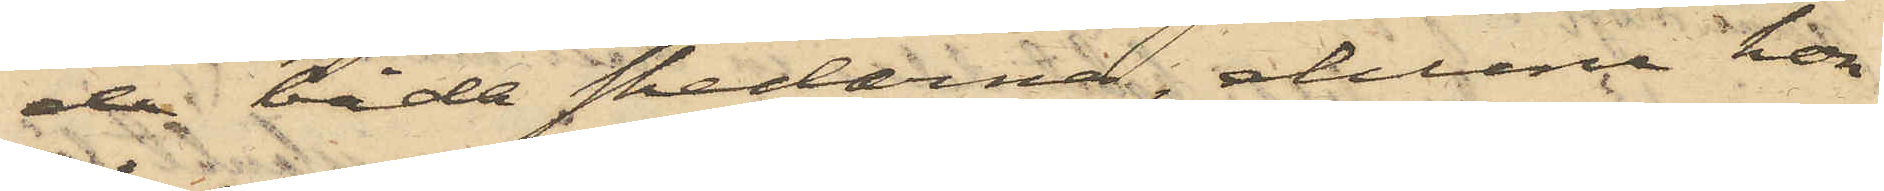de båda skedarna, ehuru hon
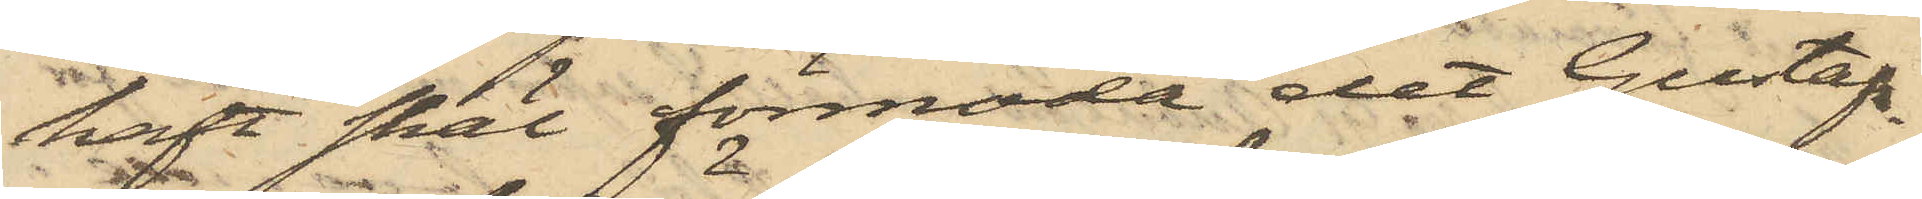haft skäl förmoda det Gustafs¬
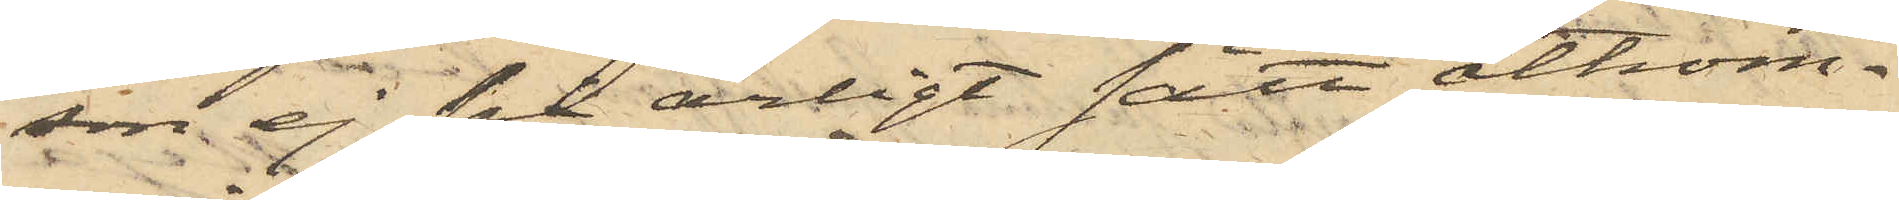son ej på ärligt sätt åtkom¬
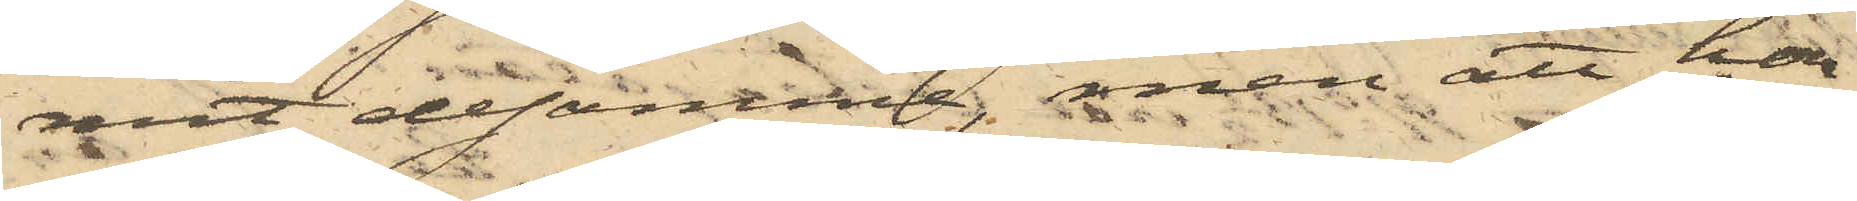mit desamma, men att hon
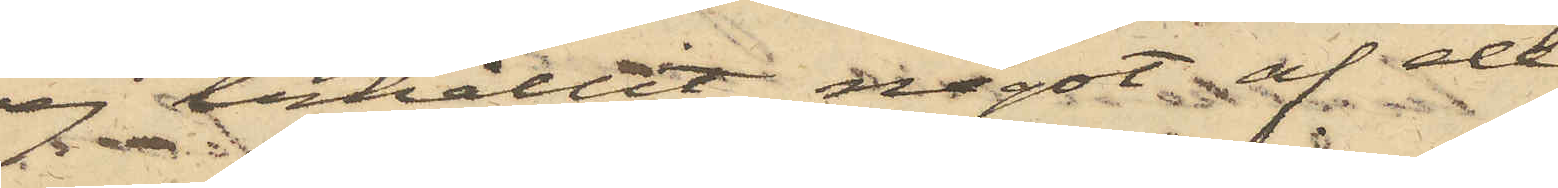ej erhållit något af de
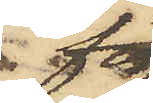för
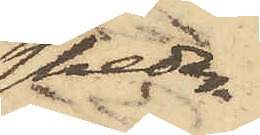skedar¬
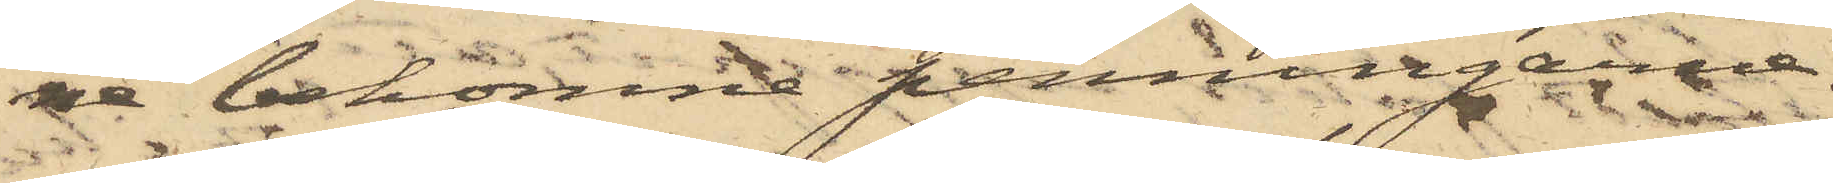na bekomne penningarna.
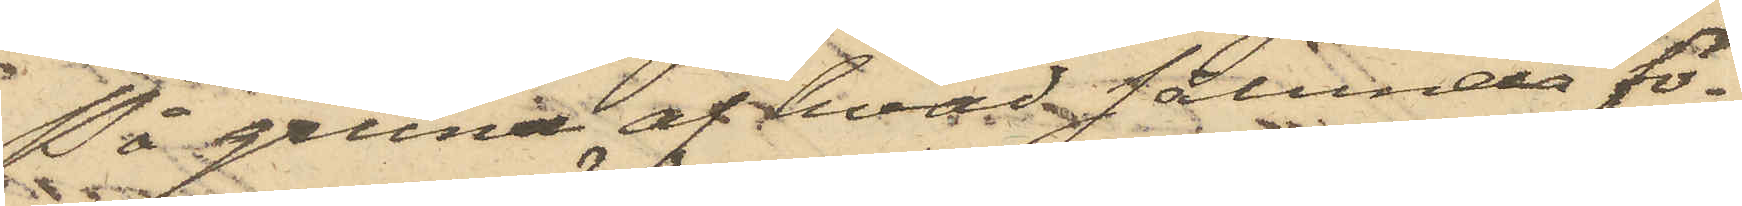På grund af hvad sålunda fö¬
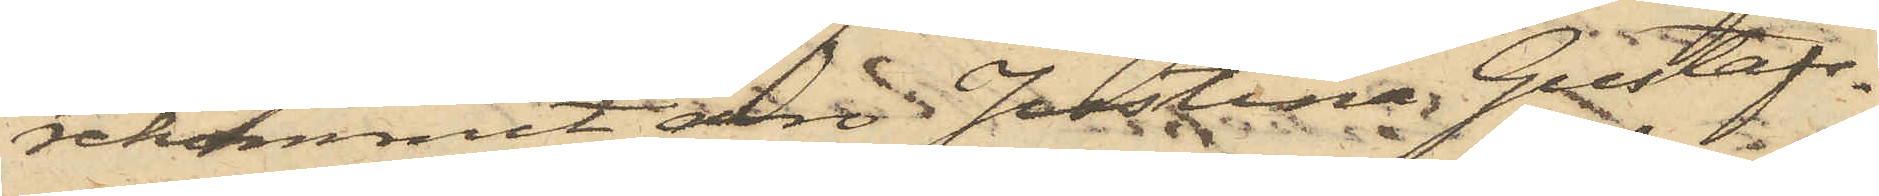rekommit, äro Justina Gustafs¬
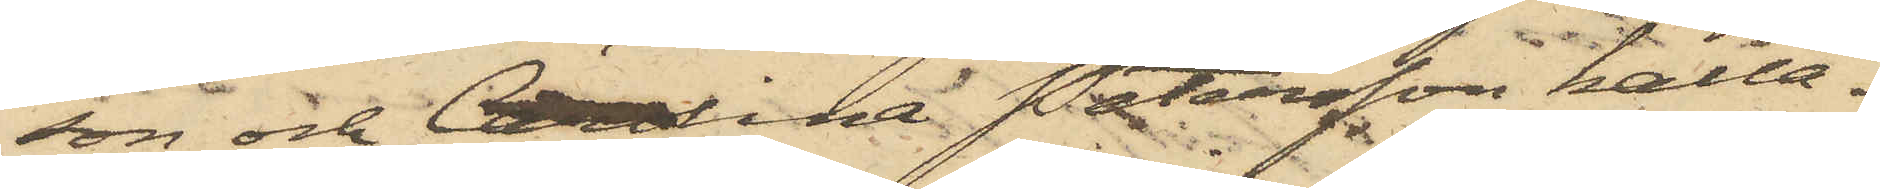son och Carolina Petersson kalla¬
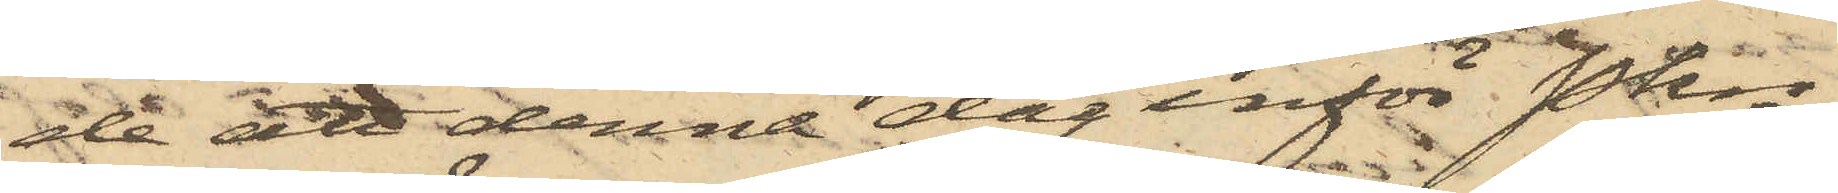de att denna dag inför Pkn
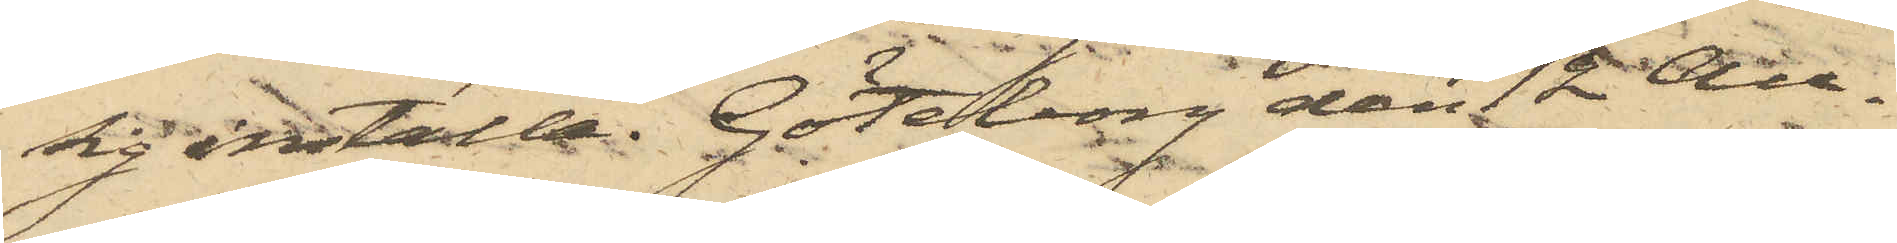sig inställa. Göteborg den 12 Au¬
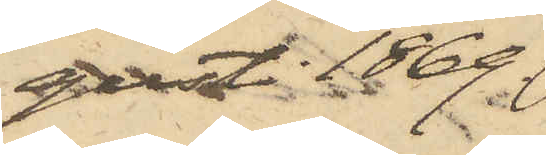gusti 1869.
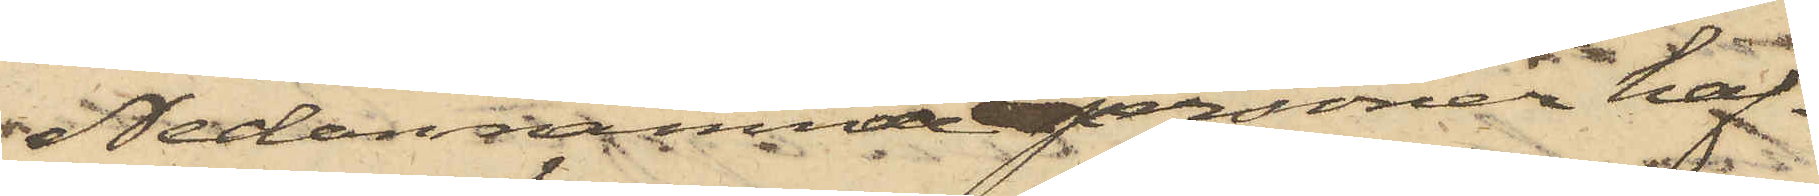Nedannämnde personer haf¬
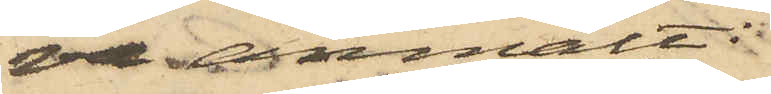va anmält:
